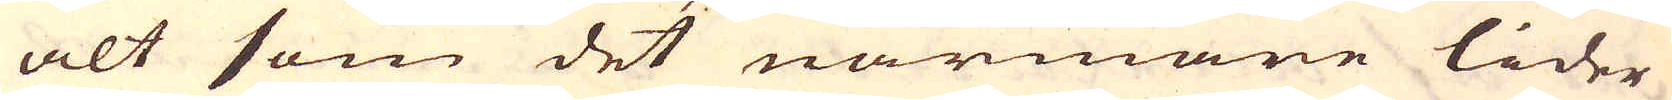alt som det närmare lider
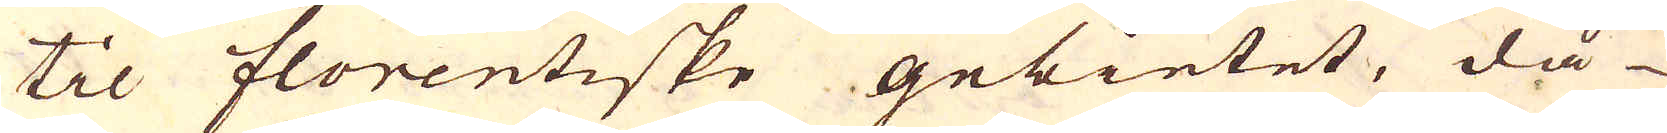til florentiske gebietet, då
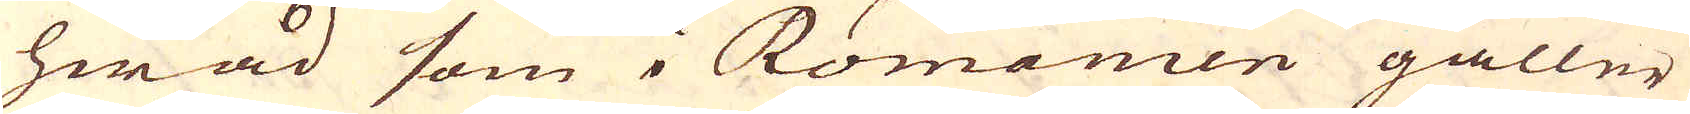hwad som i Romanien gäller
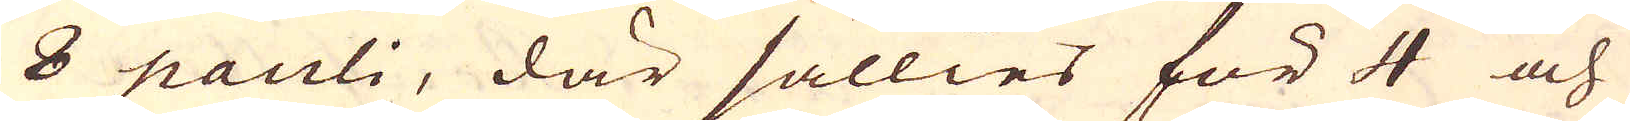8 pauli, där sällies för 4 och
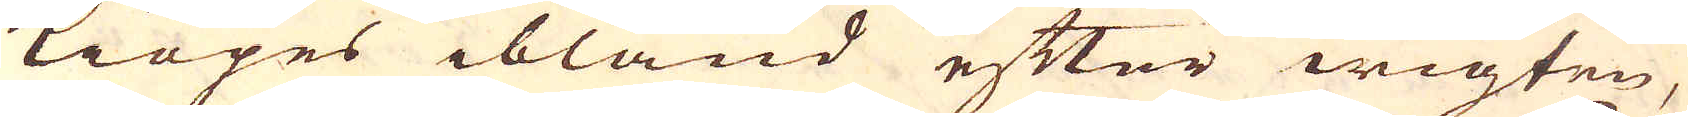kiöpes ibland efter wigten,
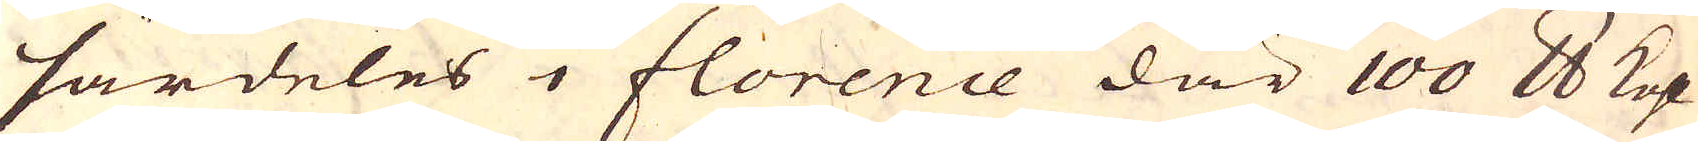särdeles i florence där 100 skålpund kolh
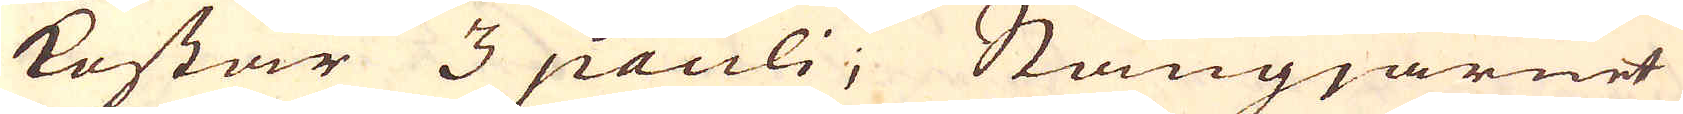kostar 3 pauli; Stångjärnet
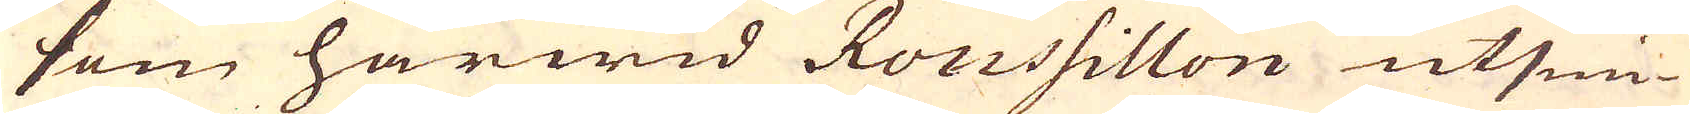som härwid Roussillon utsmi-
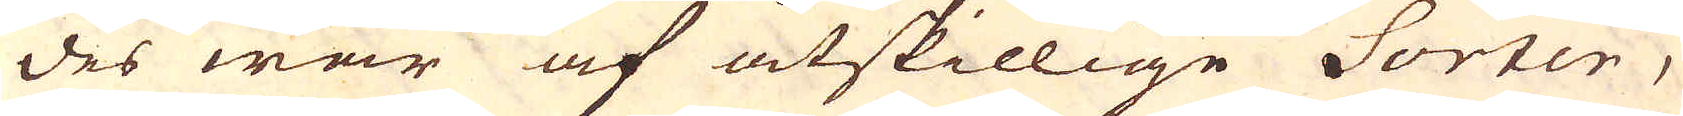des war af åtskillige Sorter,
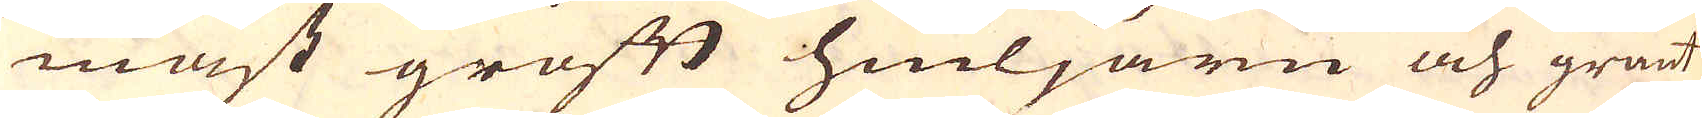mest groft hiuljärn och grant
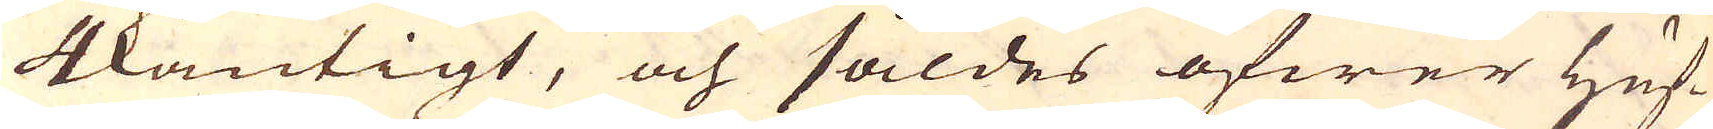4kantigt, och såldes öfwer Huf-
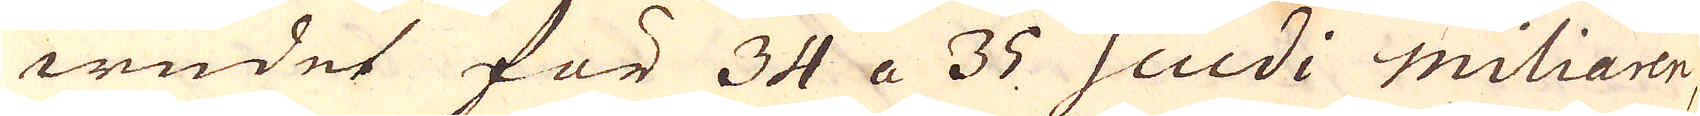wudet för 34 a 35 scudi Miliaren,
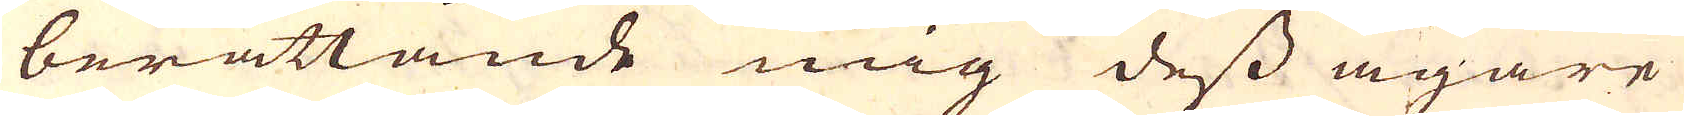berättande mig dess ägare
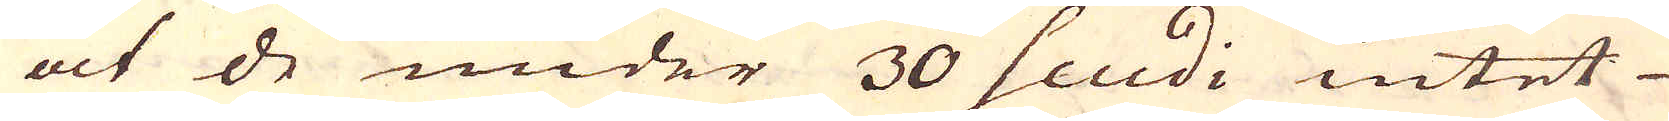at de under 30 scudi intet
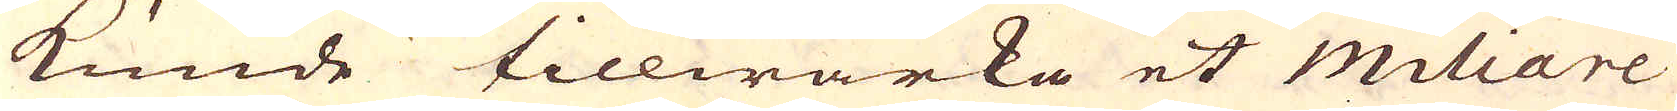kunde tillwärka et miliare
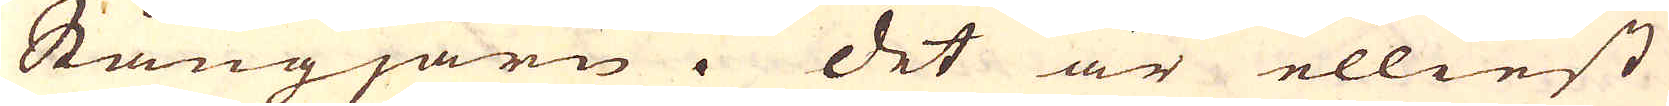Stångjärn. Det är elliest
